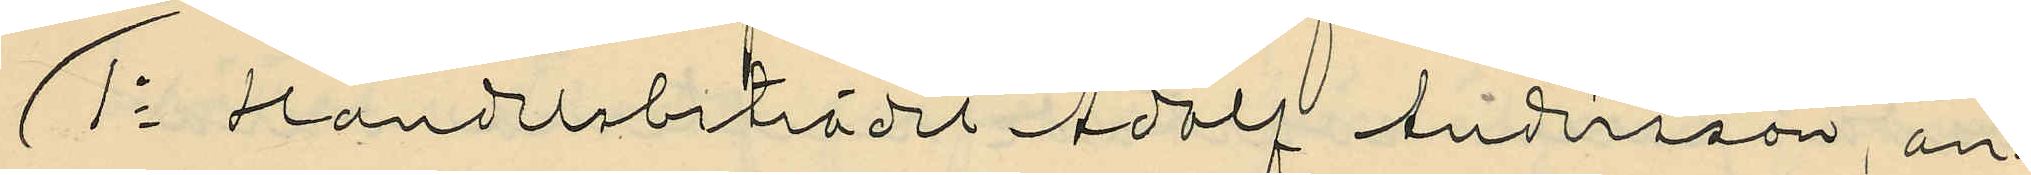1o Handelsbiträdet Adolf Andersson, an¬
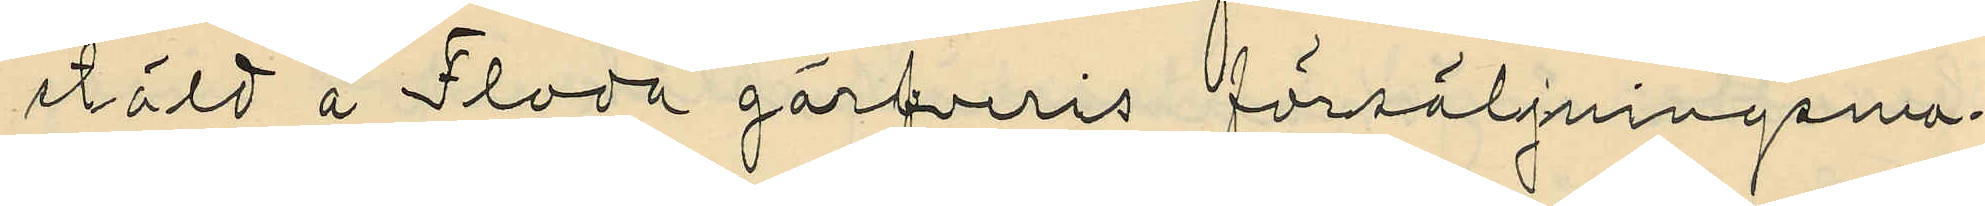stäld å Floda garfveris försäljningsma¬
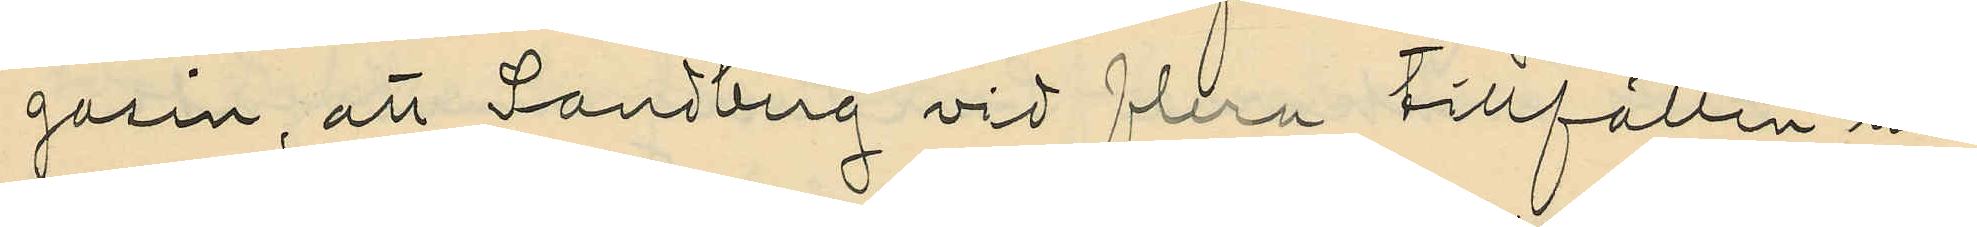gasin, att Sandberg vid flera tillfällen un¬
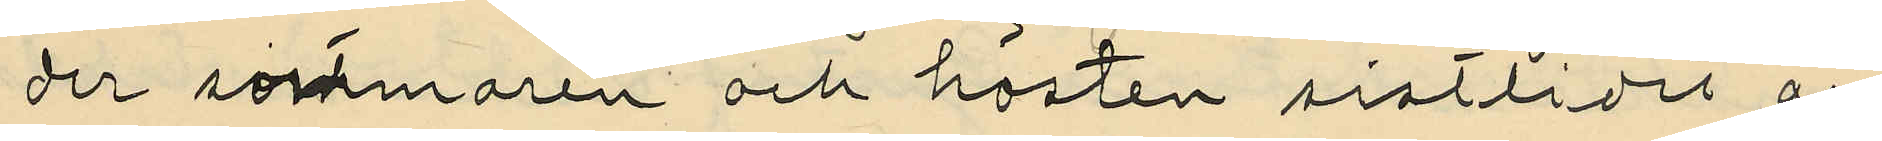der sommaren och hösten sistlidet år
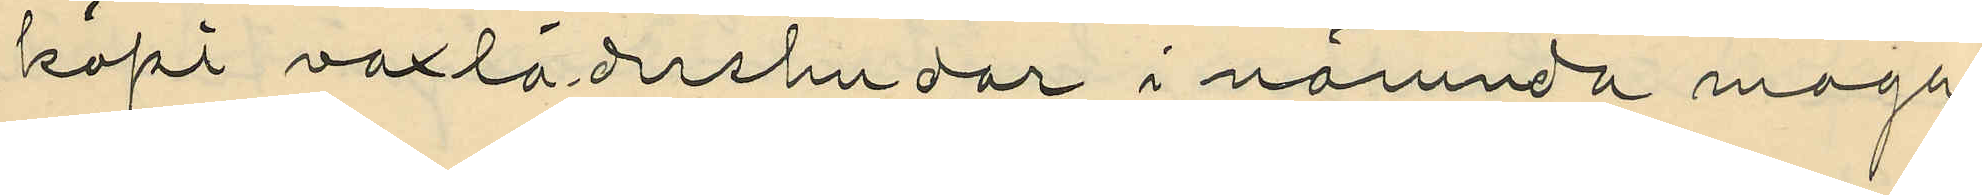köpt vaxlädershudar i nämnda maga¬
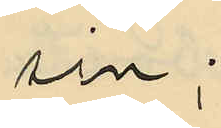sin;
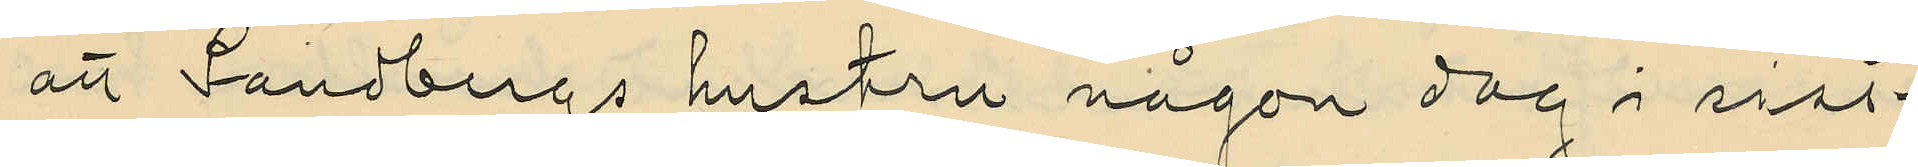att Sandbergs hustru någon dag i sist¬
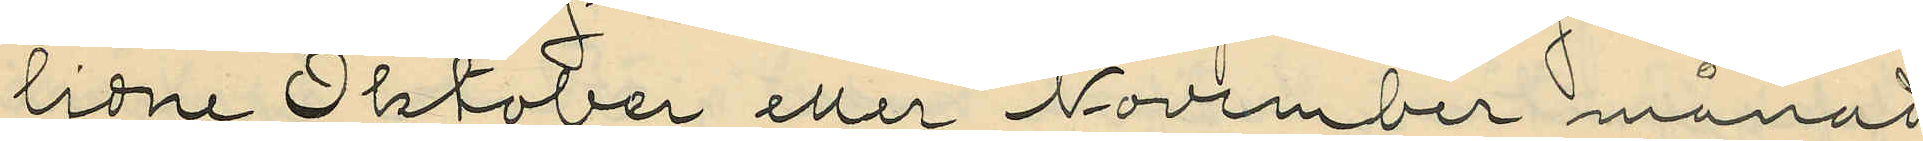lidne Oktober eller November månad
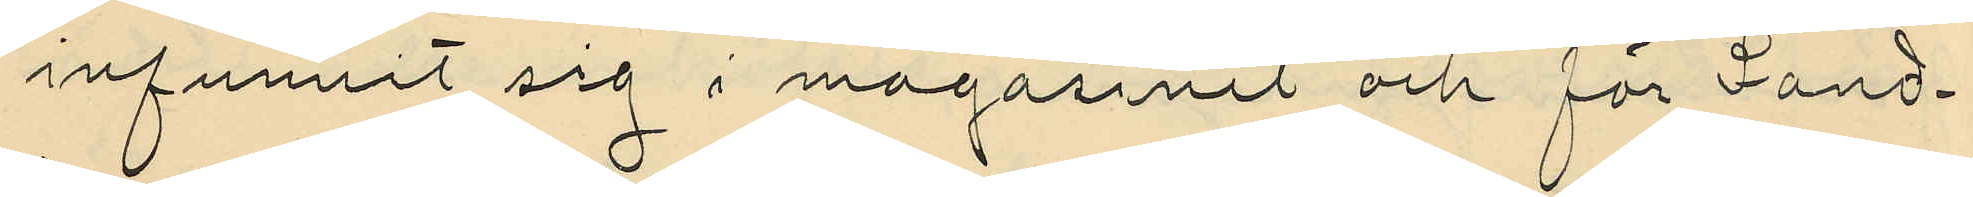infunnit sig i magasinet och för Sand¬
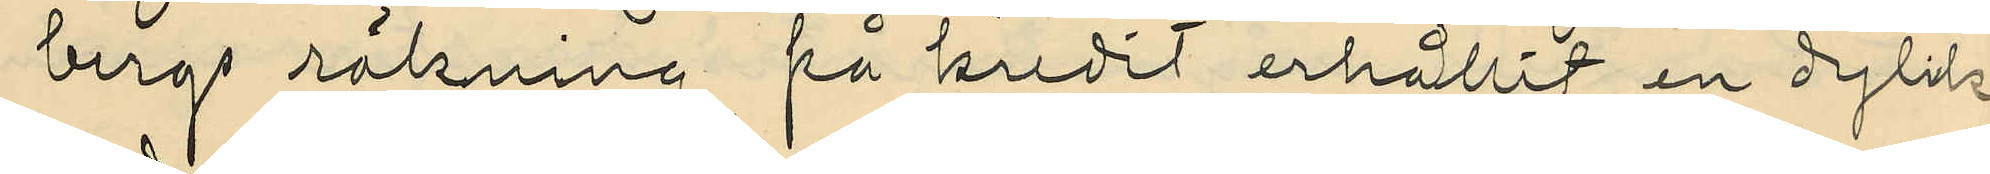bergs räkning på kredit erhållit en dylik
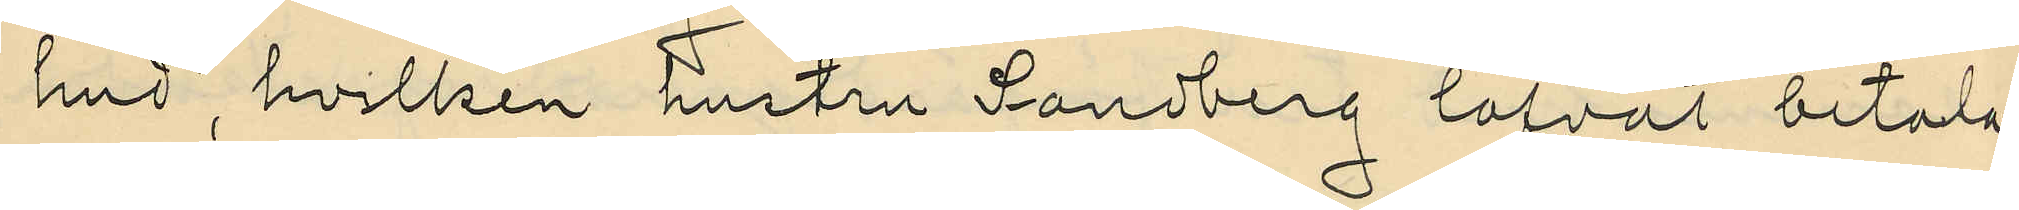hud, hvilken hustru Sandberg lofvat betala
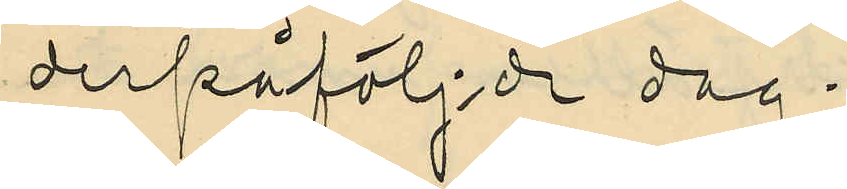derpåfölj:de dag;
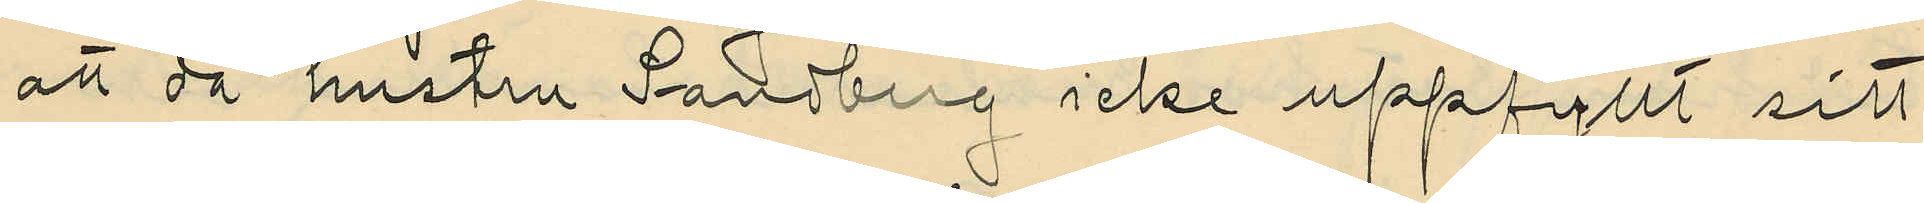att då hustru Sandberg icke uppfyllt sitt
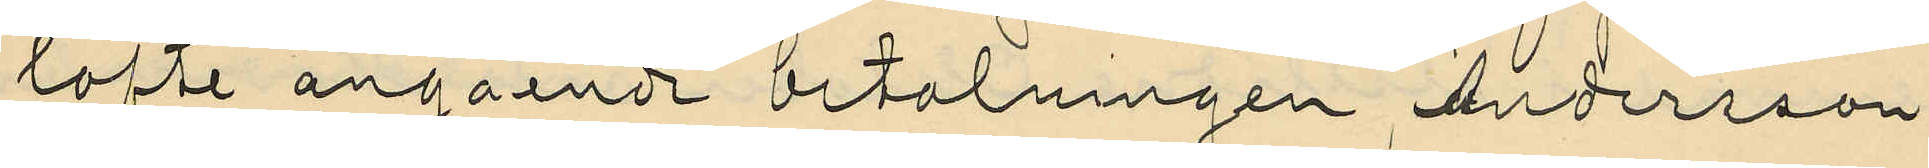lofte angående betalningen, Andersson
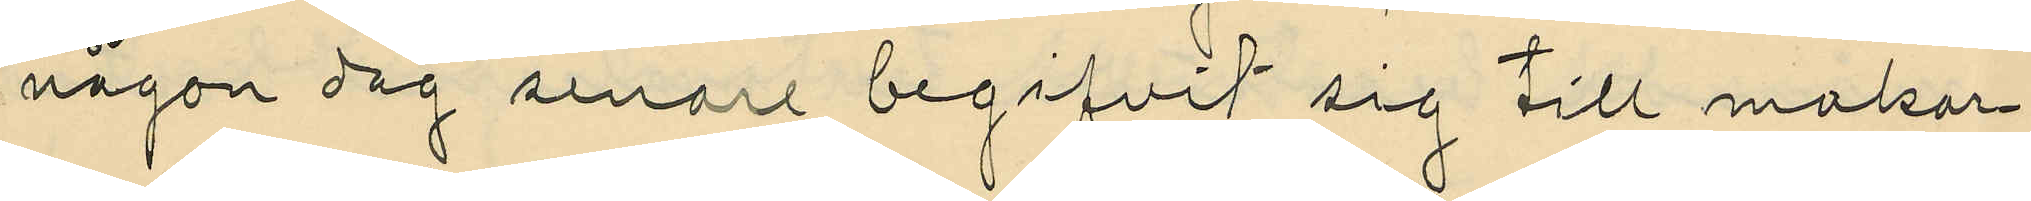någon dag senare begifvit sig till makar¬
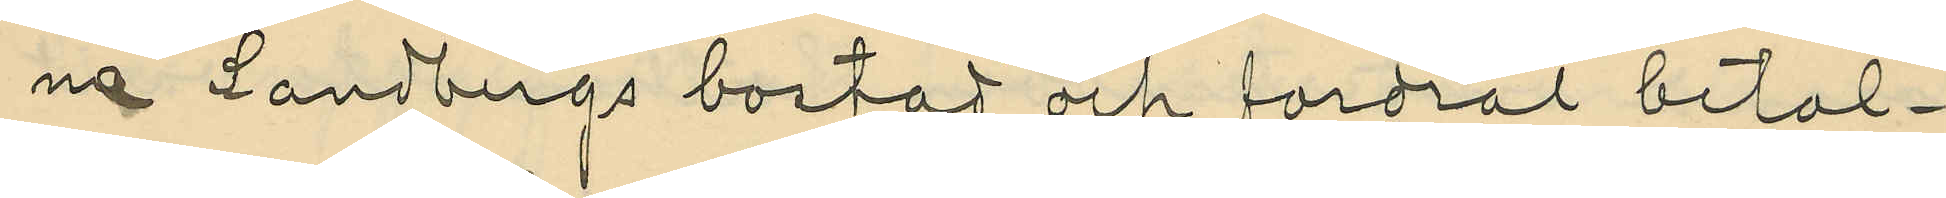na Sandbergs bostad och fordrat betal¬
